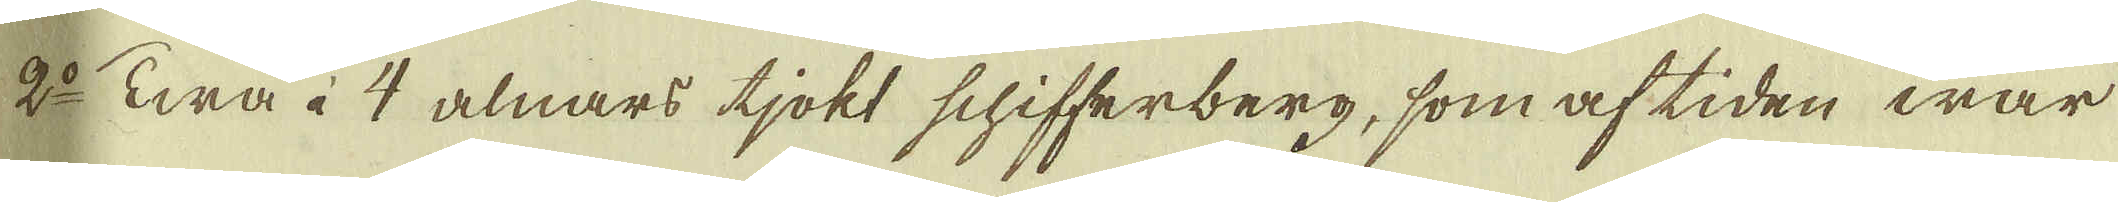2:o Twå à 4 alnars tjokt schifferberg, som af tiden war
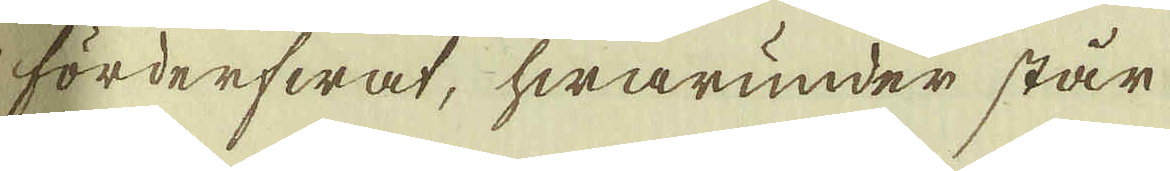förderfwat, hwarunder står
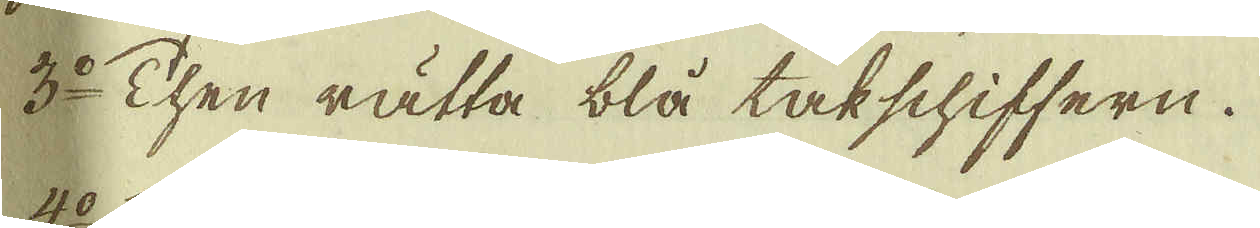3:o Then rätta blå talschiffern.
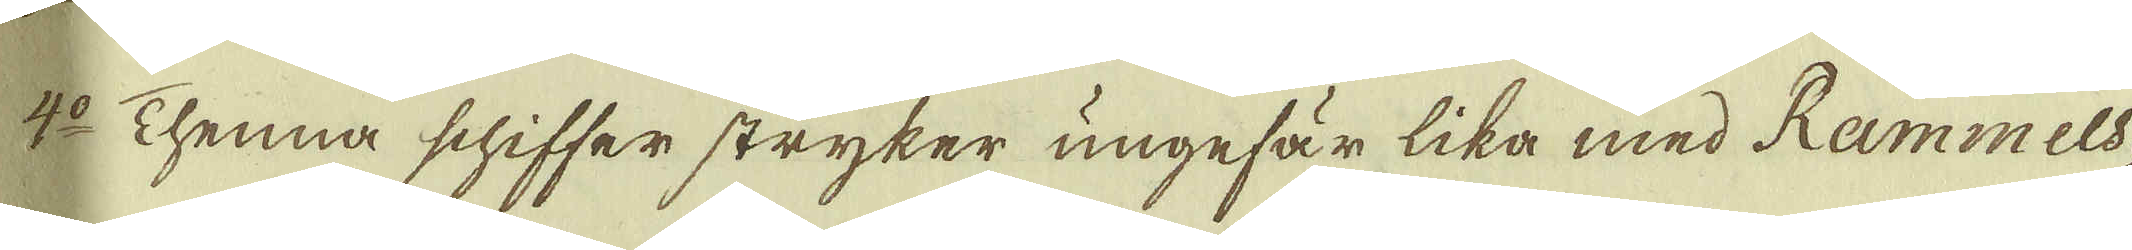4:o Thenna schiffer stryker ungefär lika med Rammels-
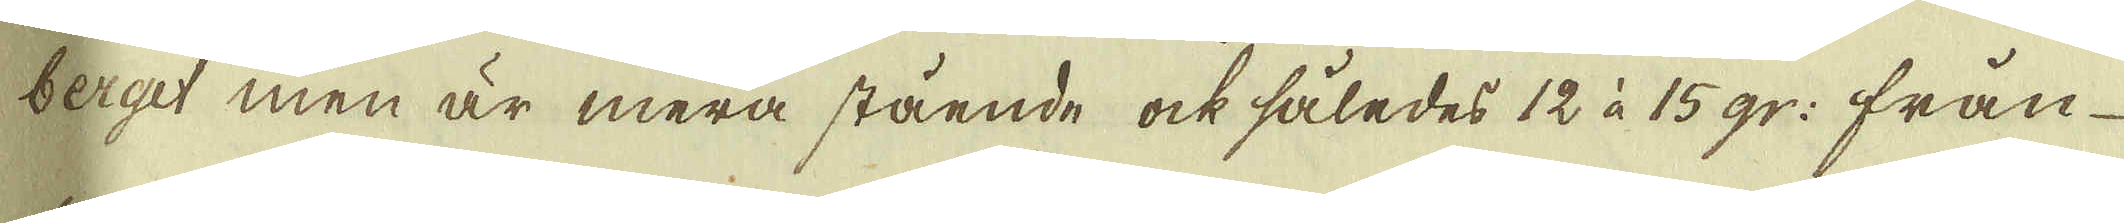berget men är mera stående ock således 12 à 15 gr: från
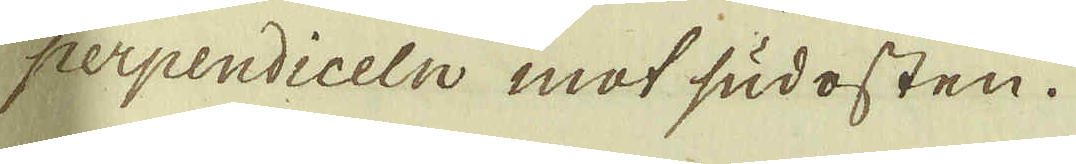perpendiceln mot sudosten.
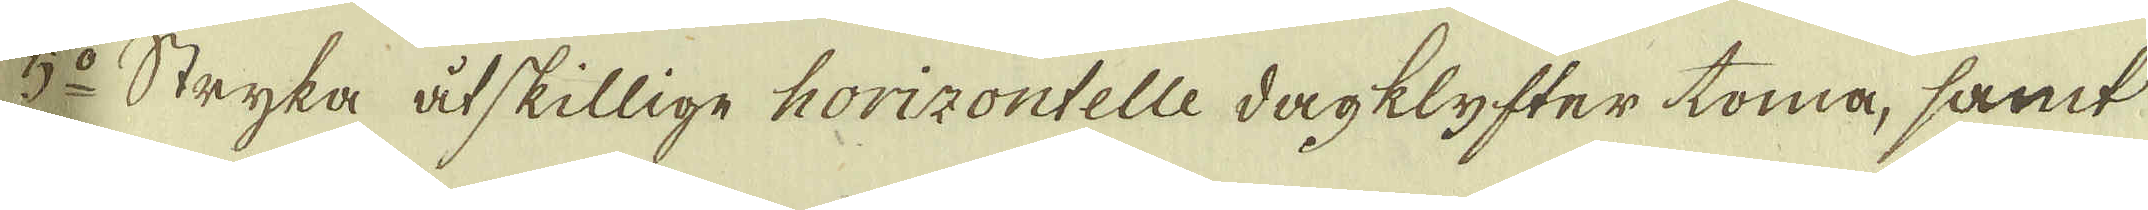5:o Stryka åtskillige horizontelle dagklyfter toma, samt
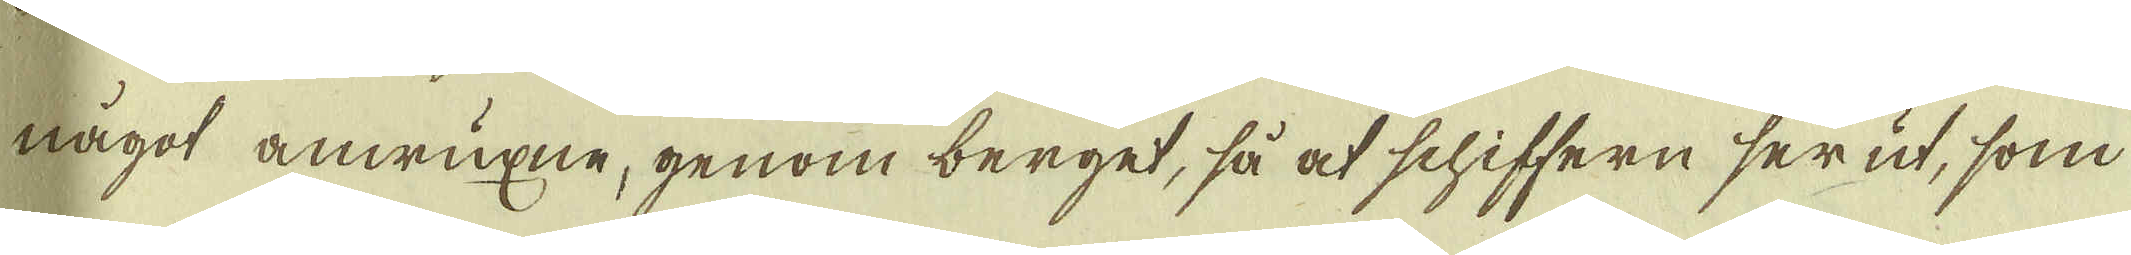något anwuxne, genom berget, så at schiffern ser ut, som
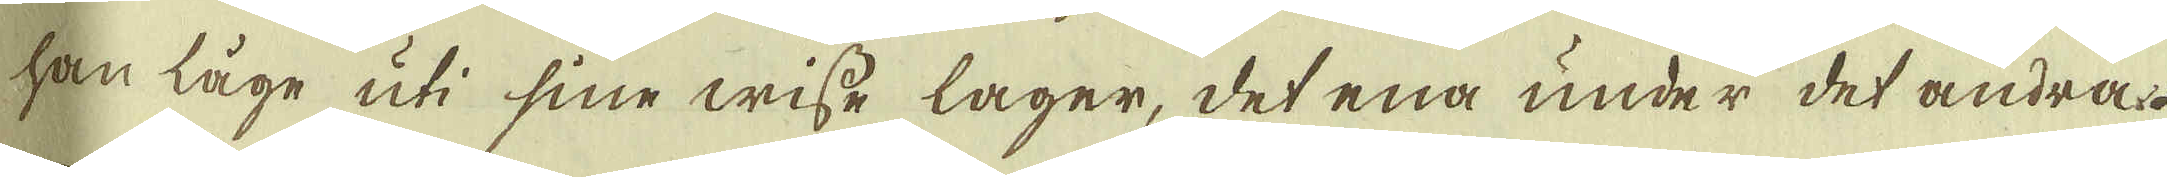han låge uti sine wisse lager, det ena under det andra.
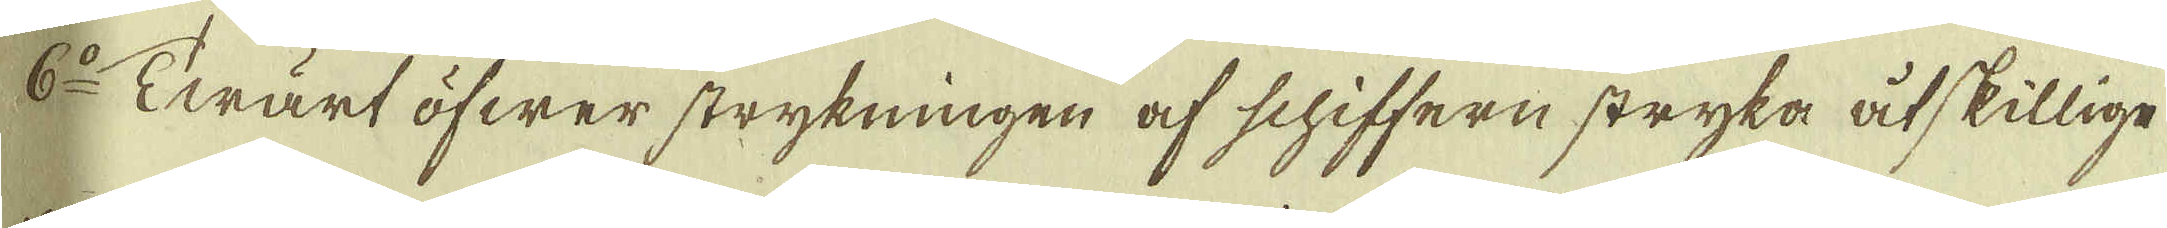6:o Twärt öfwer strykningen af schiffern stryka åtskillige
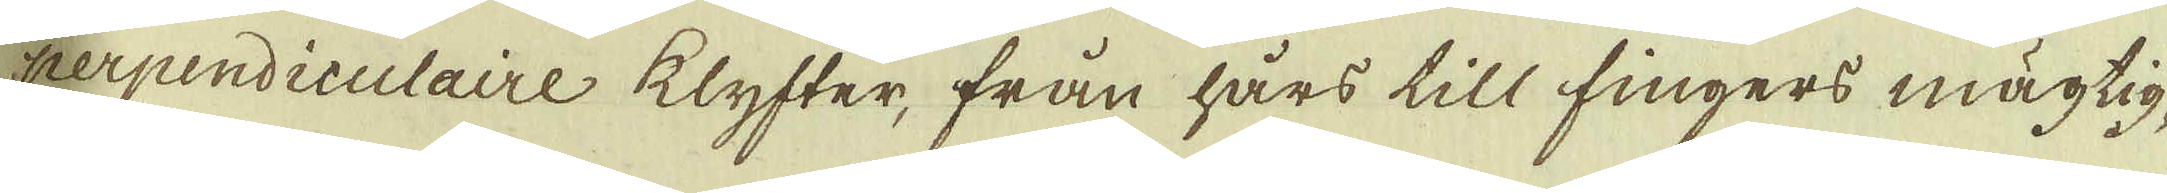perpendiculaire klyfter, från hårs till fingers mägtig-
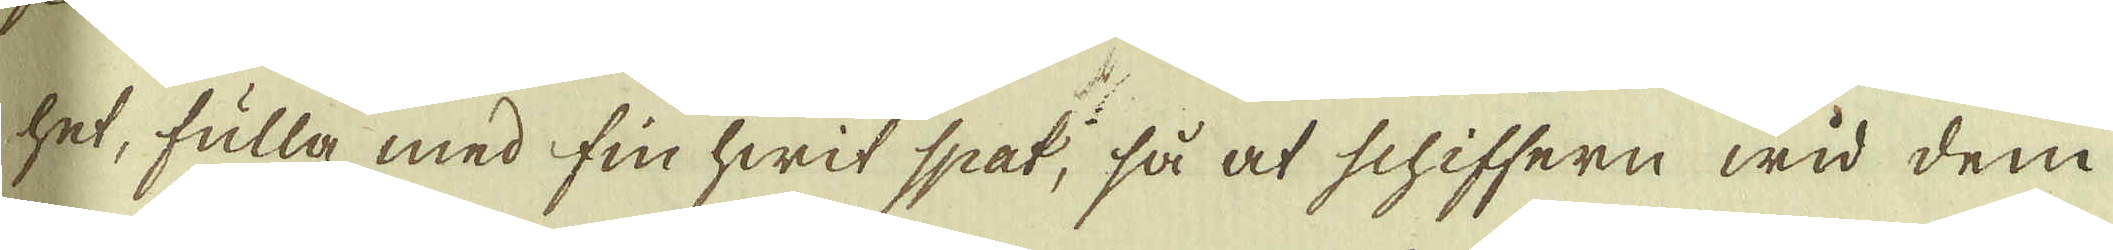het, fulla med fin hwit spat, så at schiffern wid dem
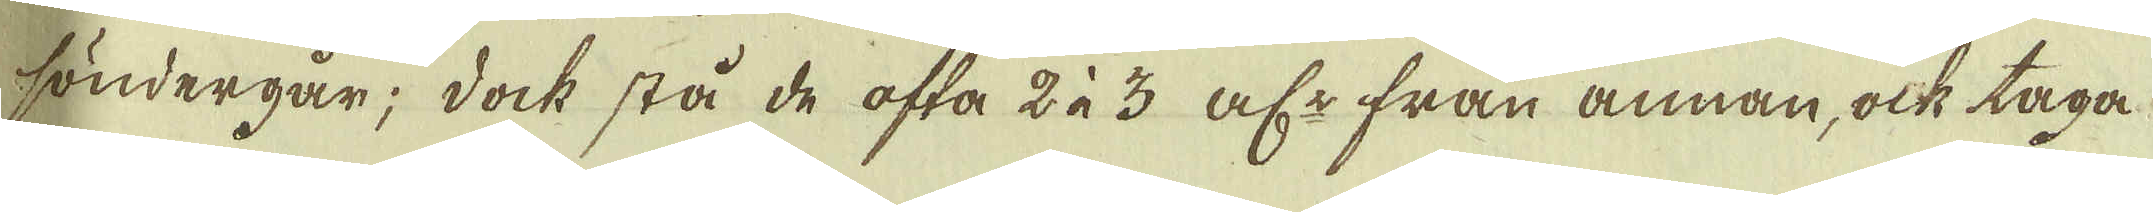söndergår; dock stå de ofta 2 à 3 al:r från annan, ock taga
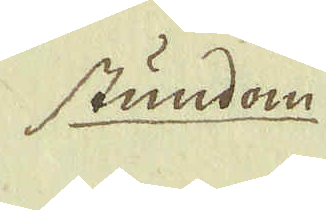stundom
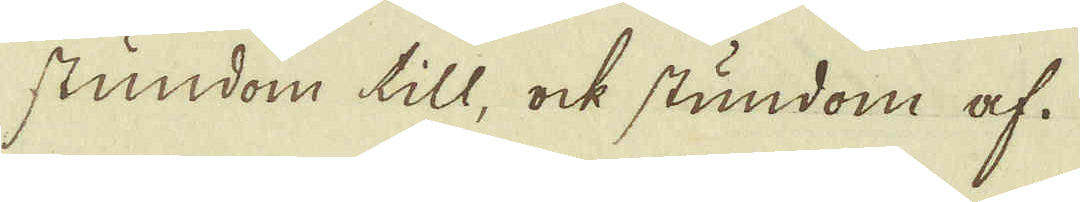stundom till, ock stundom af.
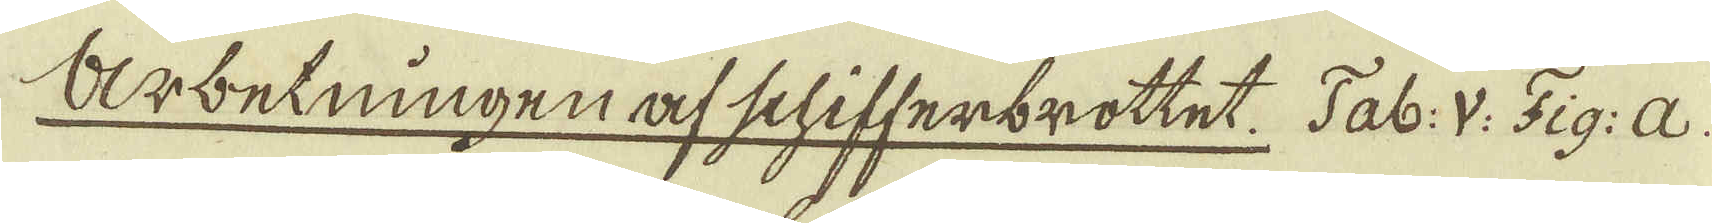Arbetningen af Schifferbrottet. Tab: V: Fig: a.
